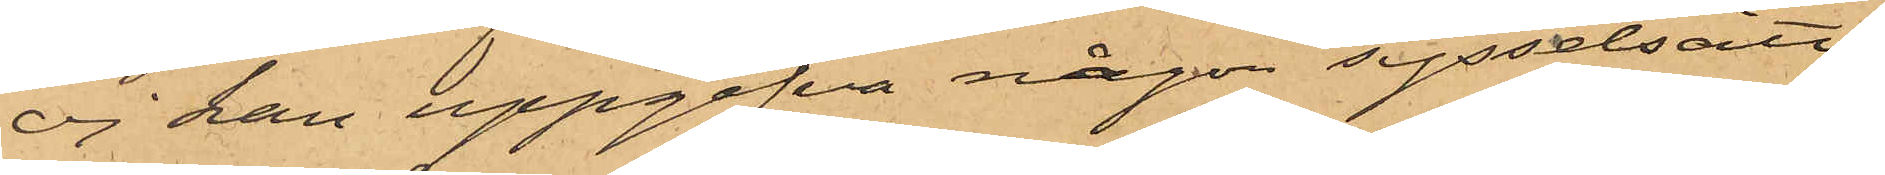ej kan uppgifva någon sysselsätt¬
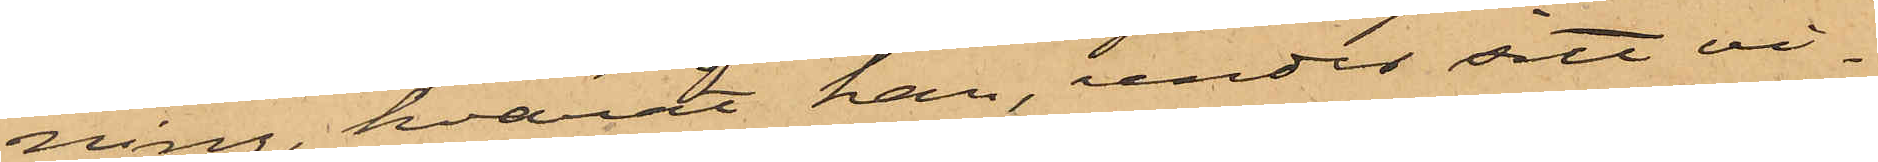ning, hvaråt han, under sitt vi¬
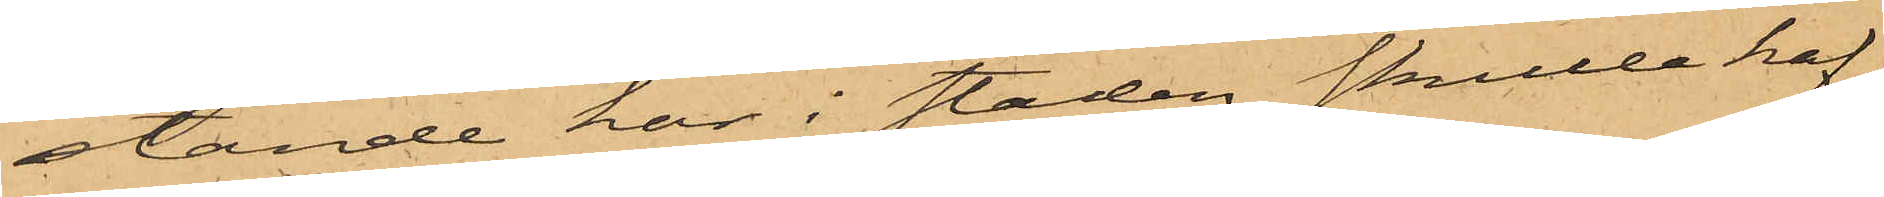stande här i staden skulle haf¬
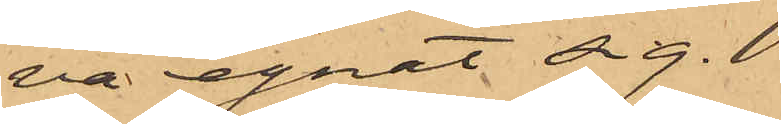va egnat sig.
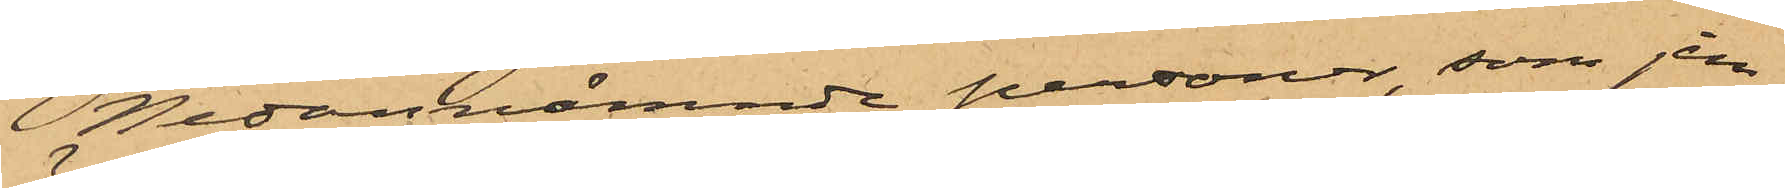Nedannämnde personer, som jem¬
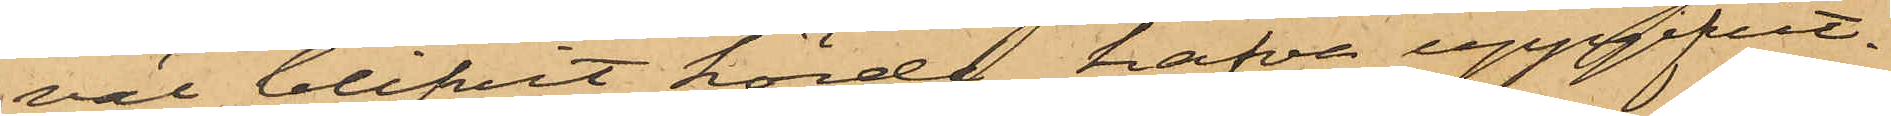väl blifvit hörde hafva uppgifvit.
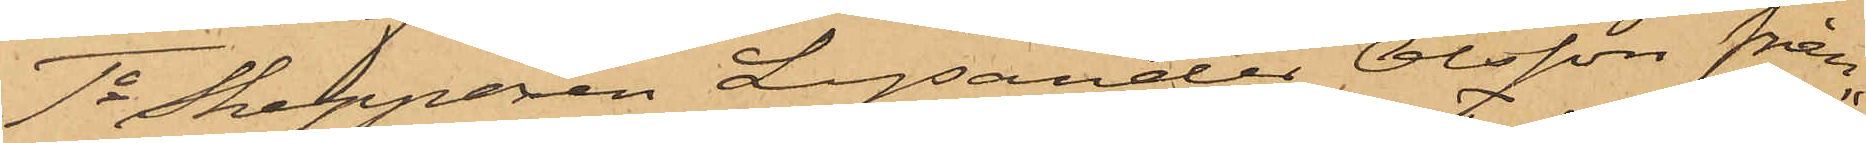1o Skepparen Lysander Olsson från
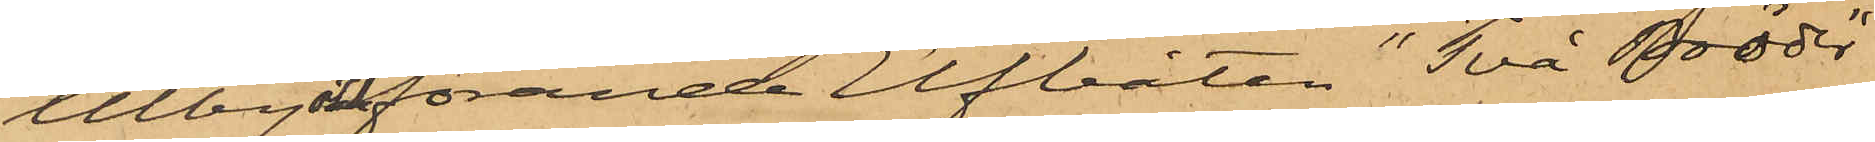Utby och förande Elfbåten "Två Bröder"
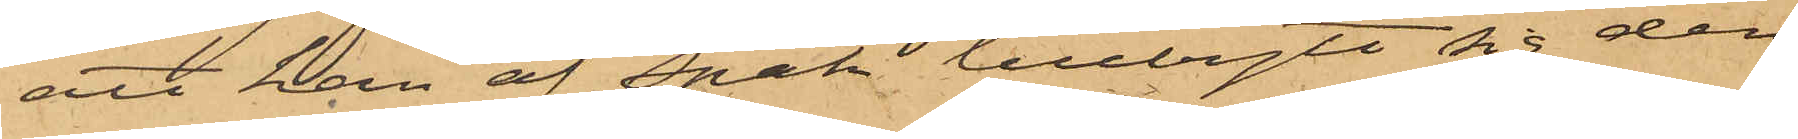att han af Spak tillbytt sig den
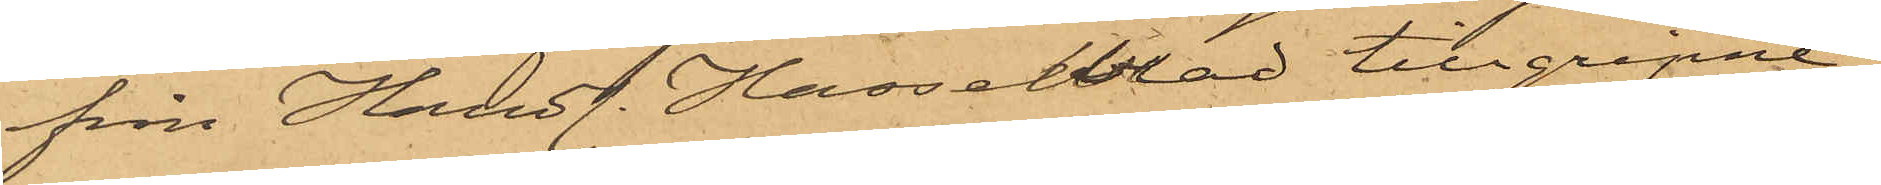från Handl. Hasselblad tillgripne
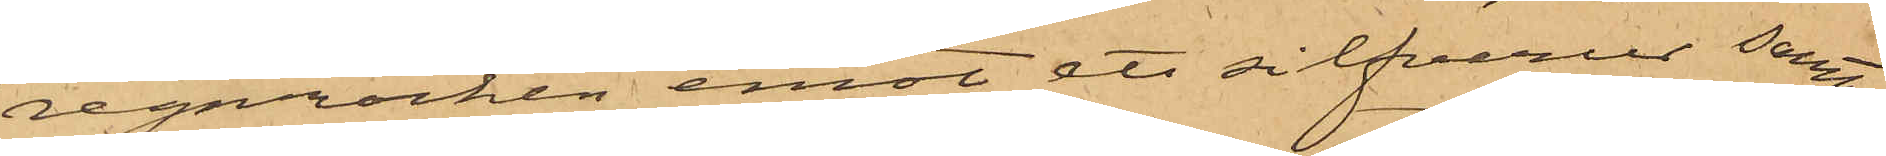regnrocken emot ett silfverur, samt
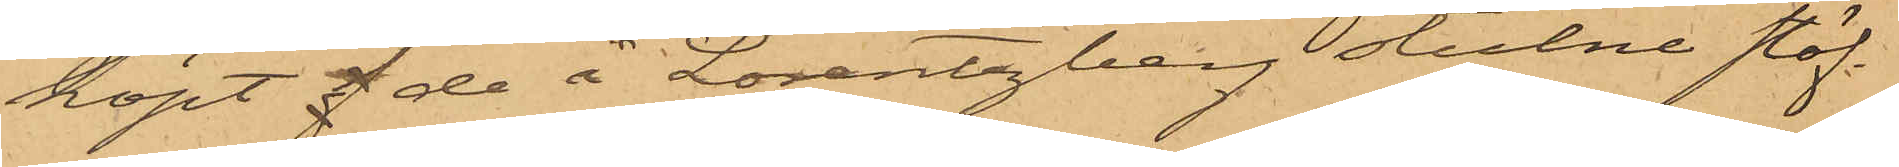köpt f de å Lorentzberg stulne stöf¬
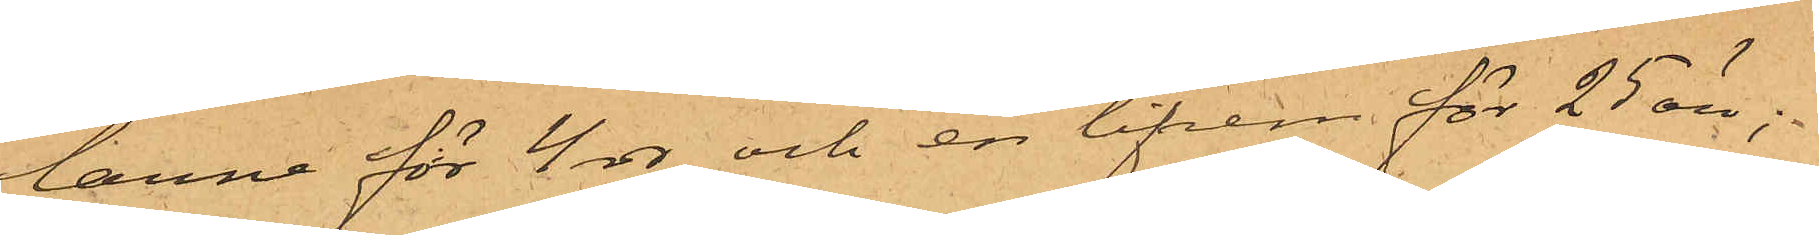larne för 4 rdr och en lifrem för 25 öre;
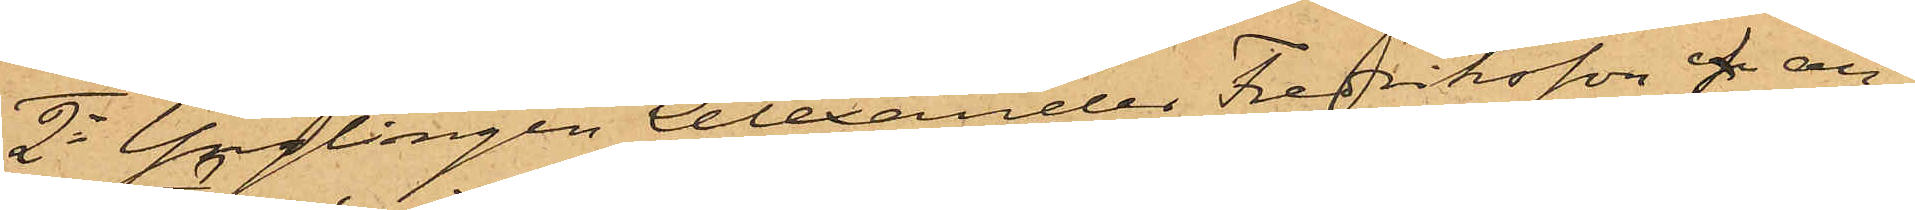2o Ynglingen Alexander Fredriksson f an¬
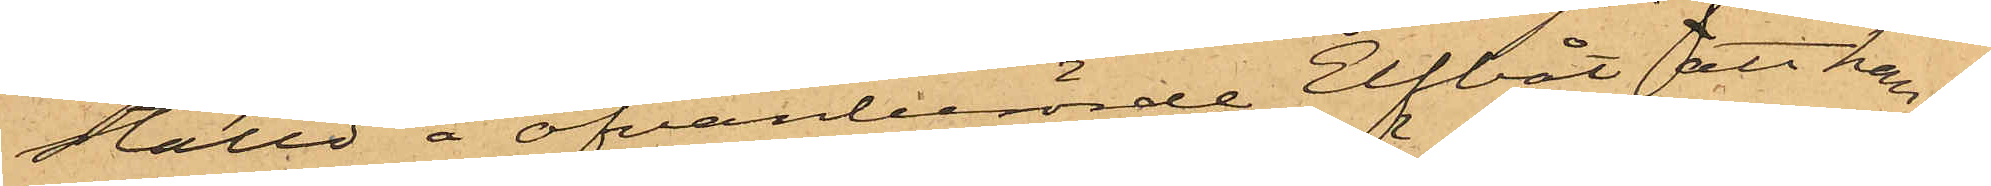ställd å ofvanberörde Elfbåt att han af
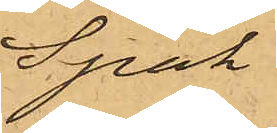Spak
